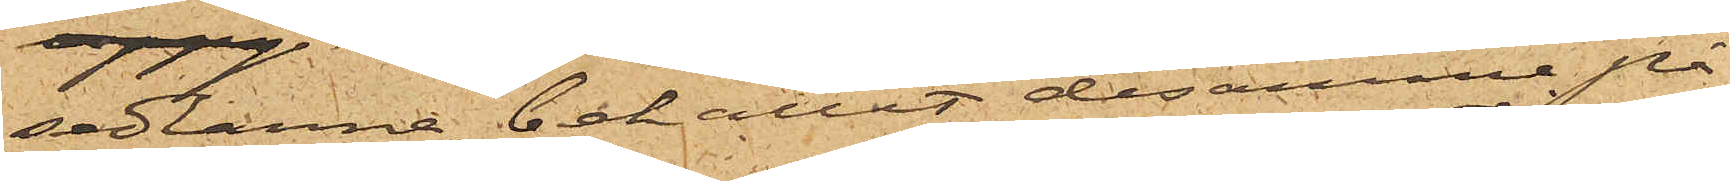sedlarna, behållit desamma på
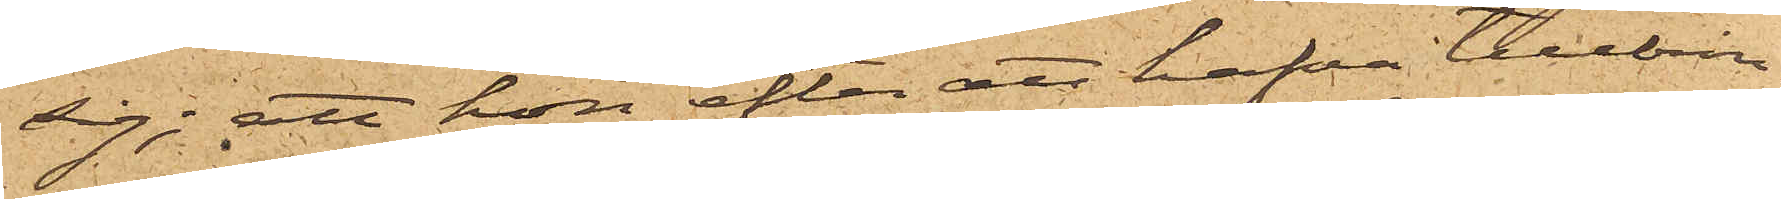sig; att hon efter att hafva tillbrin¬
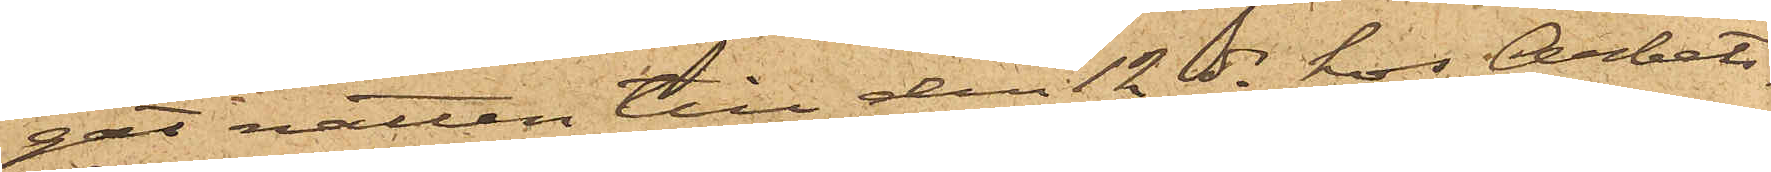gat natten till den 12 ds hos Arbets¬
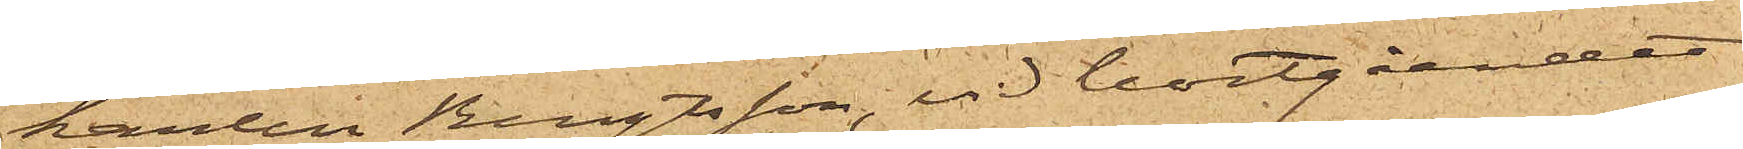karlen Bengtsson, vid bortgåendet
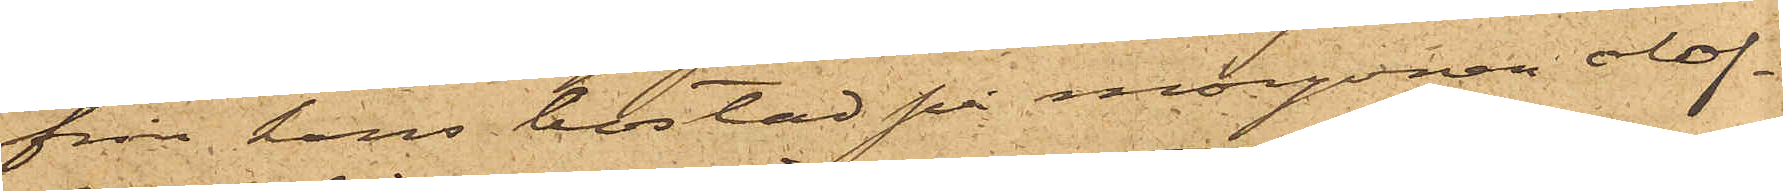från hans bostad på morgonen olof¬
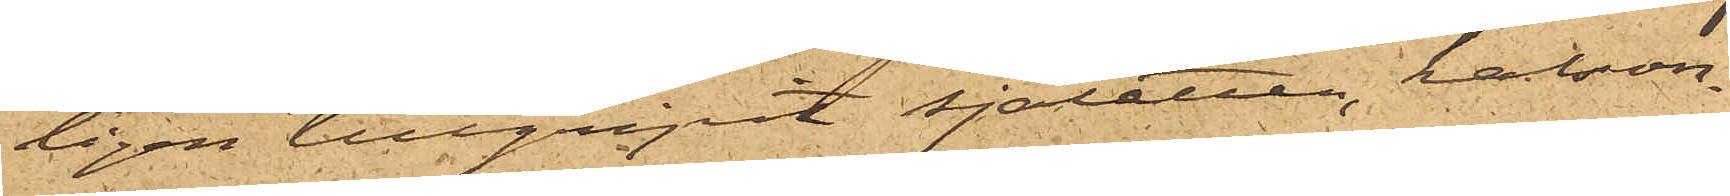ligen tillgripit sjaletten, kalson¬
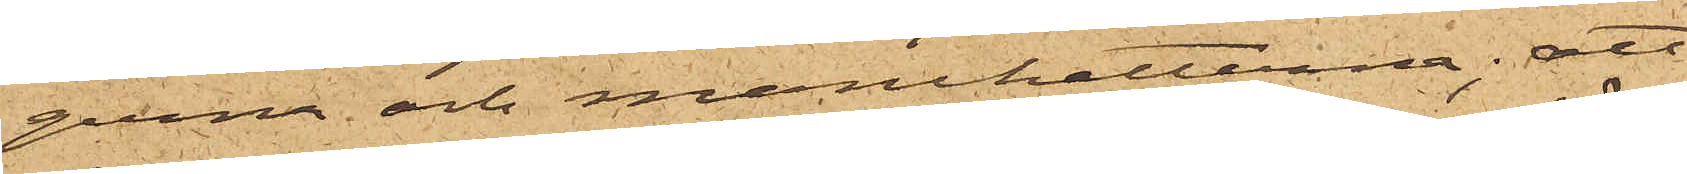gerna och manchetterna; att
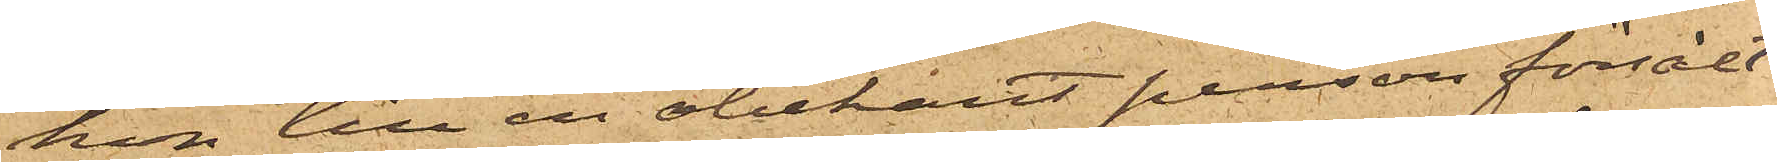hon till en obekant person försålt
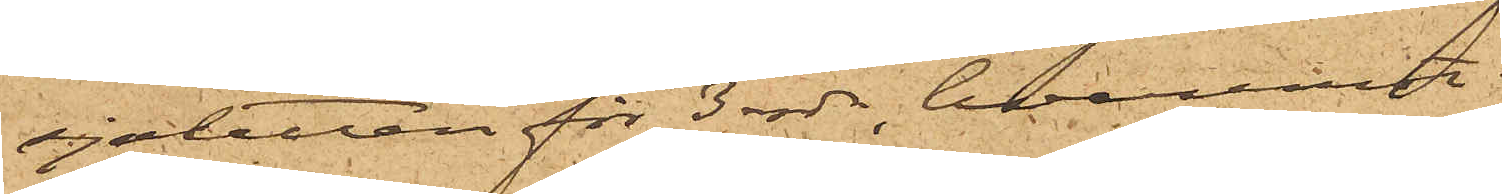sjaletten för 3 rdr, hvaremot
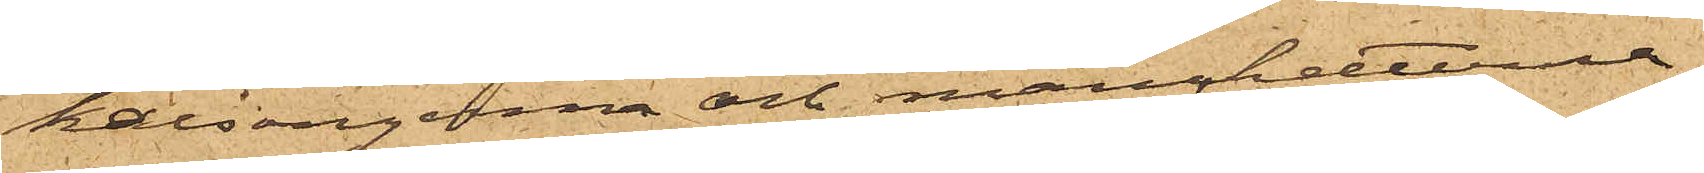kalsongerna och manchetterna
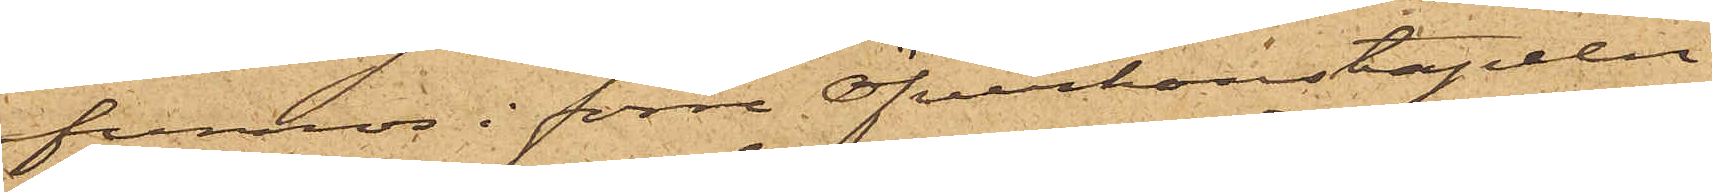funnos i förre Öfverkonstapeln
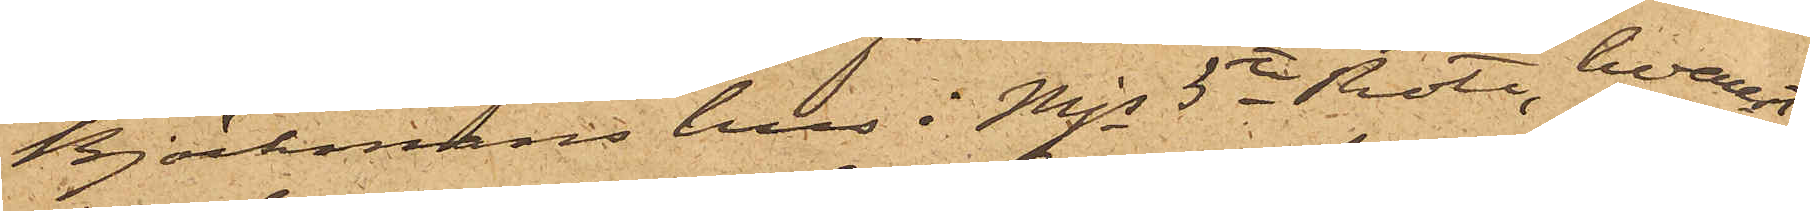Björkmans hus i Mjs 5te Rote, hvarest
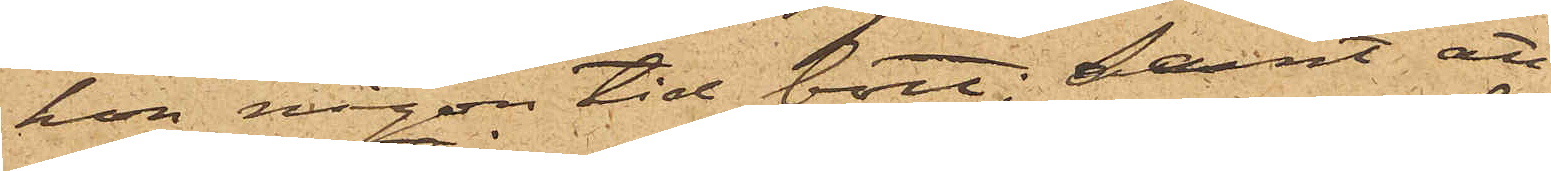hon någon tid bott; samt att
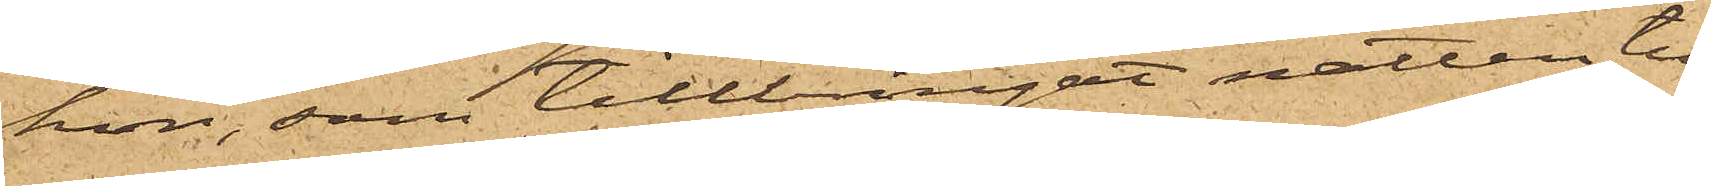hon, som tillbringat natten till
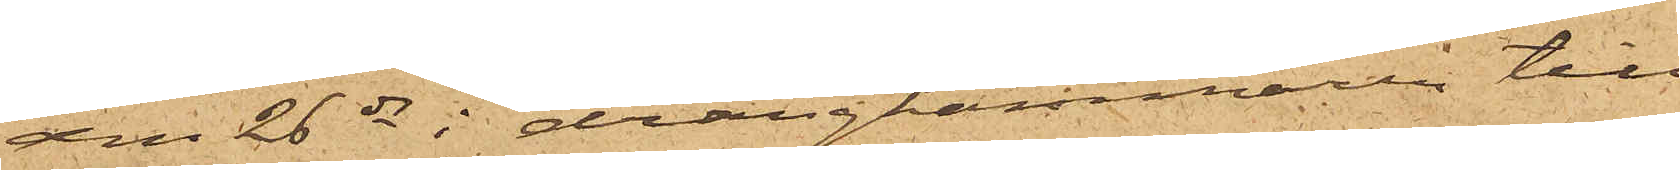den 26 ds i drängkammaren till
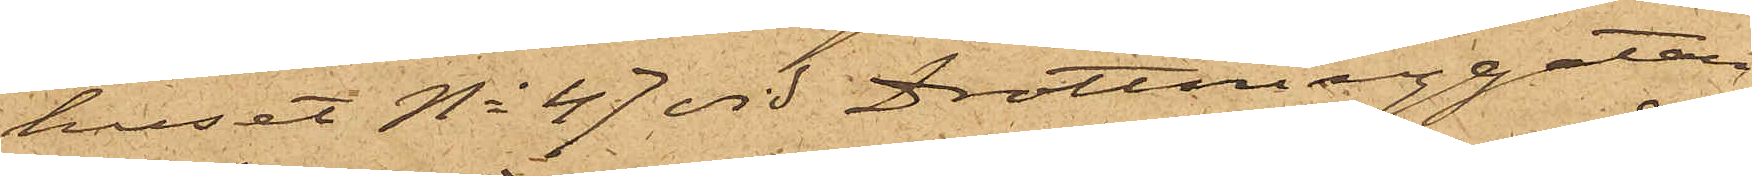huset No 47 vid Drottninggatan,
